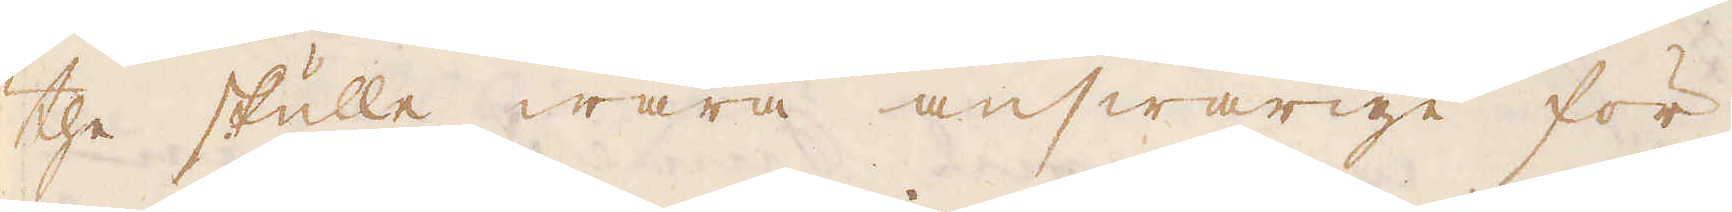the skulle wara answarige för
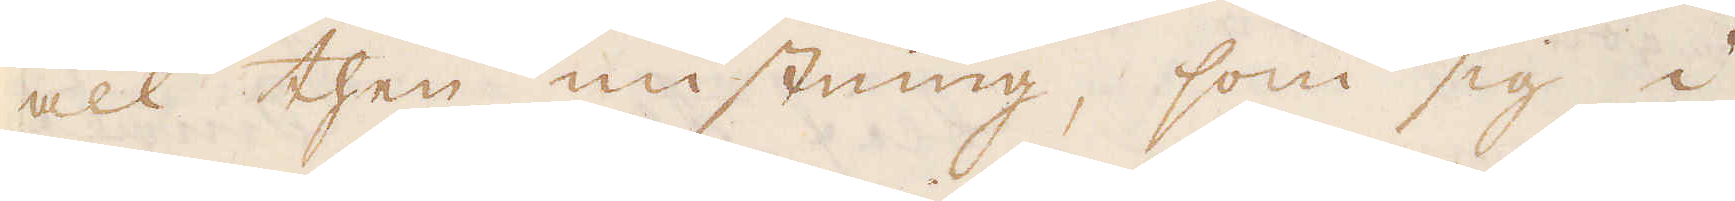all then mistning, som sig i
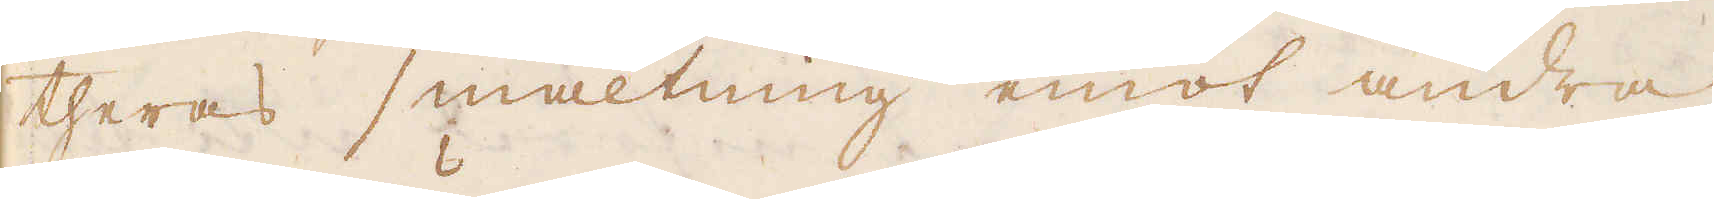theras smältning emot andra
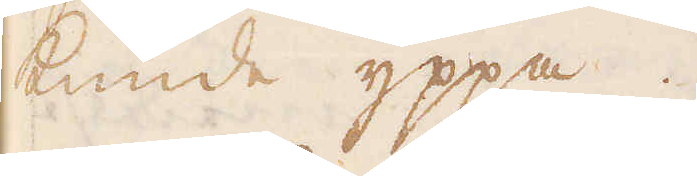kunde yppa.
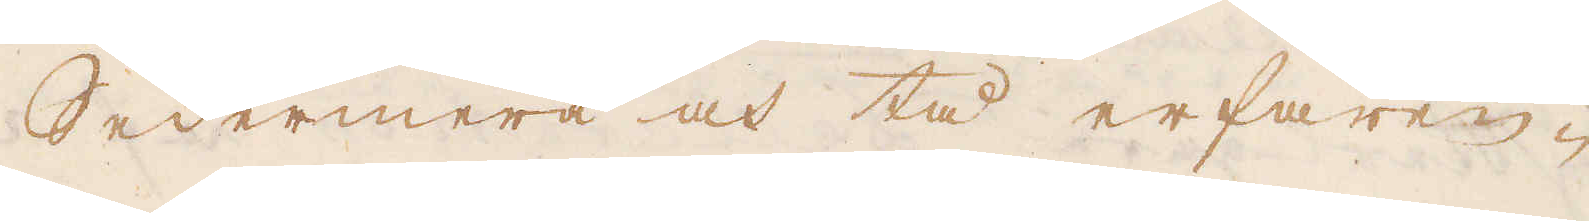Sedermera och tå erfaren-
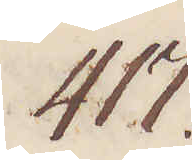417.
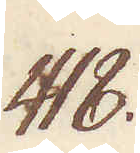418.
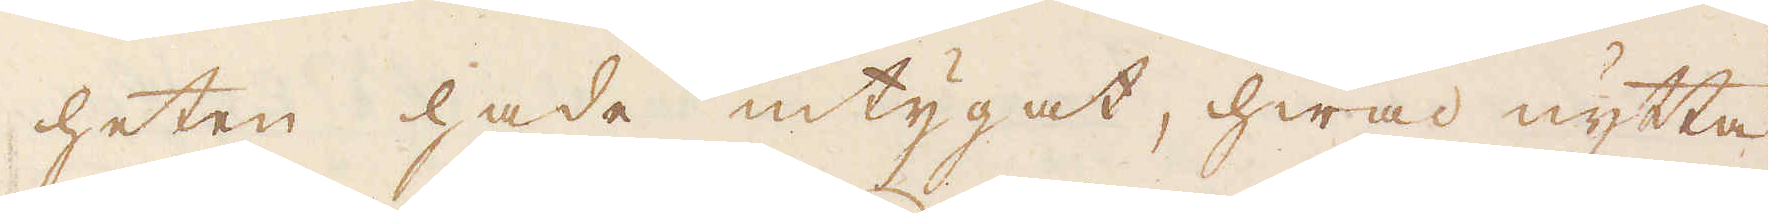heten hade intygat, hwad nytta
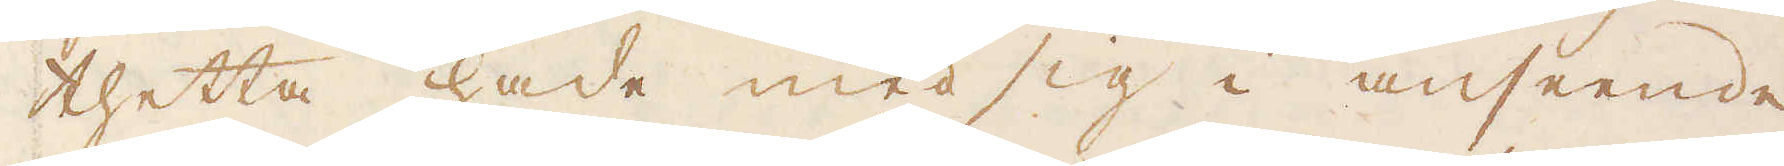thetta hade med sig i anseende
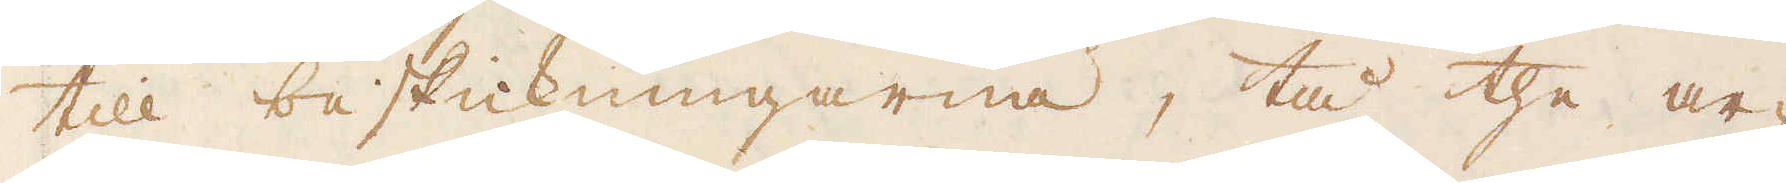till beskickningarna, tå the ar-
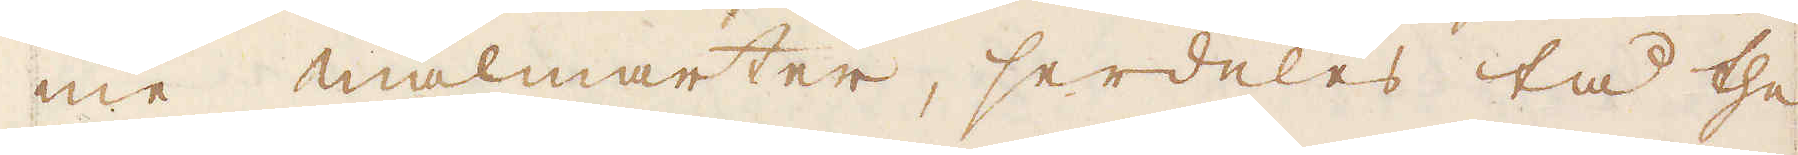me malmarter, serdeles tå the
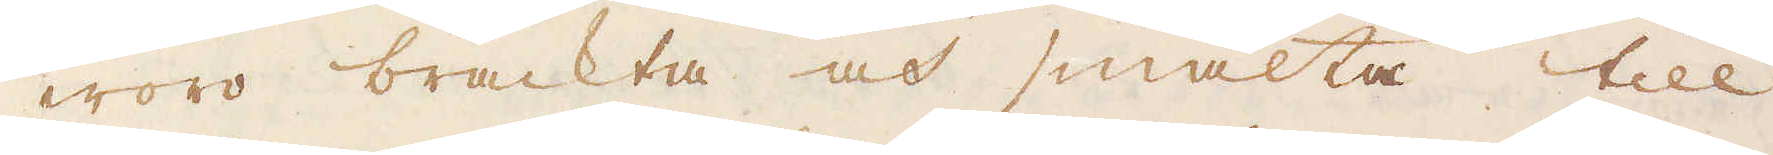woro bräckta och smälta till
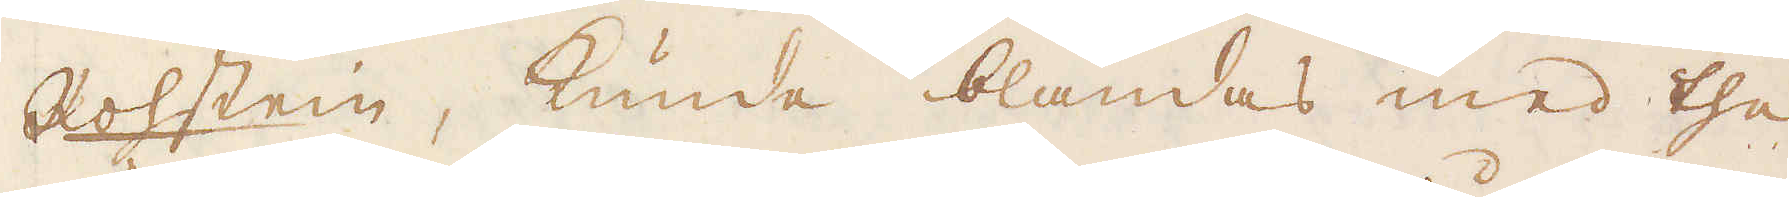Rohstein, kunde blandas med the
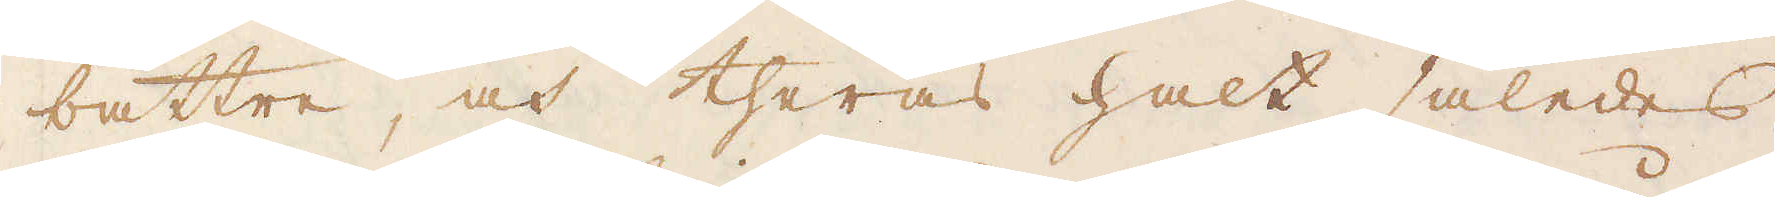bättre och theras halt således
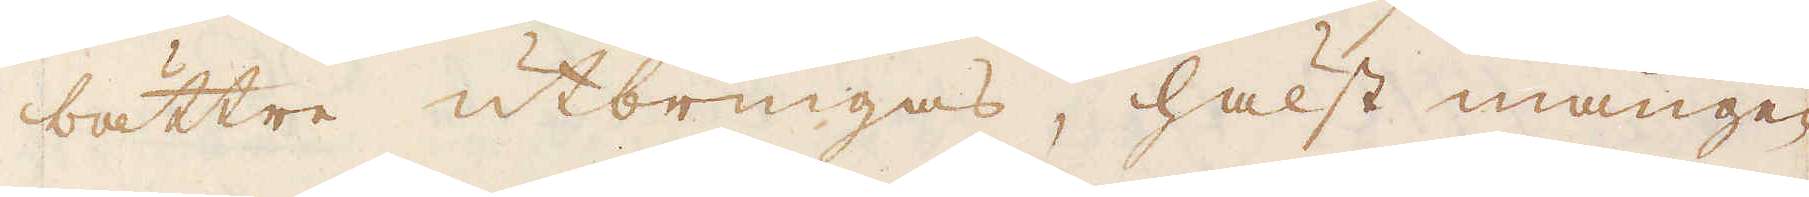bättre utbringas, hälst mången
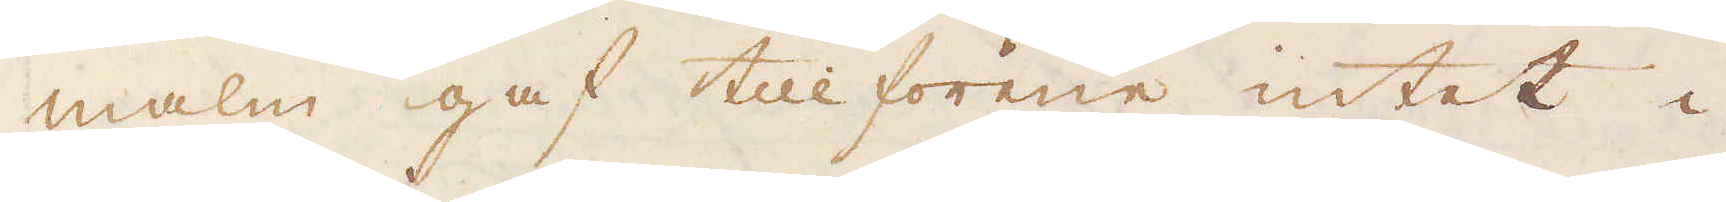malm gaf tillförene intet i
